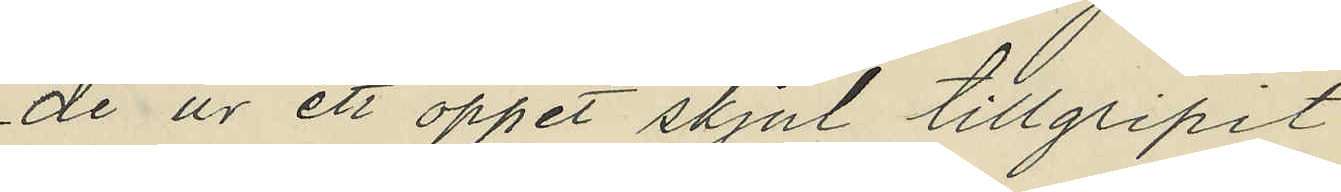de ur ett öppet skjul tillgripit
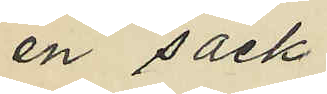en säck
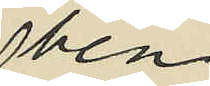ben
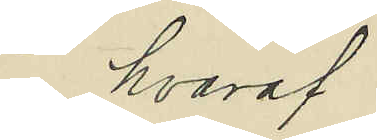hvaraf
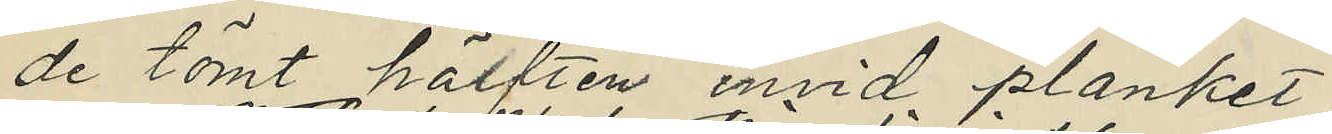de tömt hälften invid planket
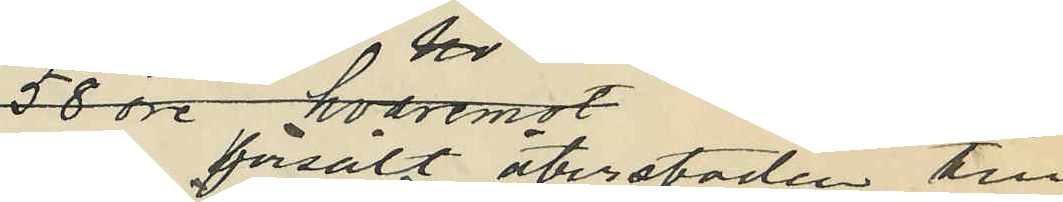men försålt återstoden till
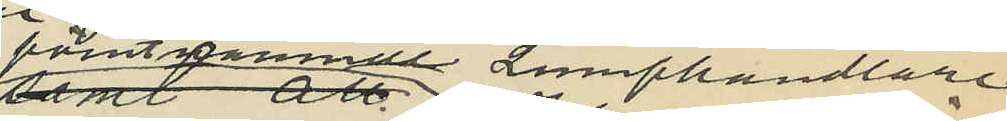förutnämnde lumphandlare
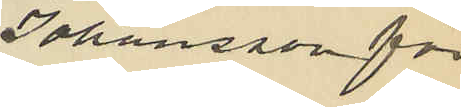Johansson för
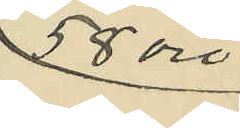58 öre
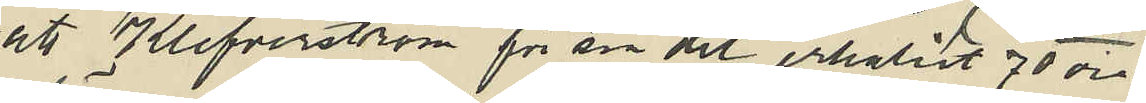att Klefverström för sin del erhållit 70 öre
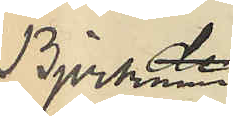Björkman
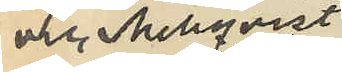och Mellqvist
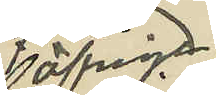öfriga
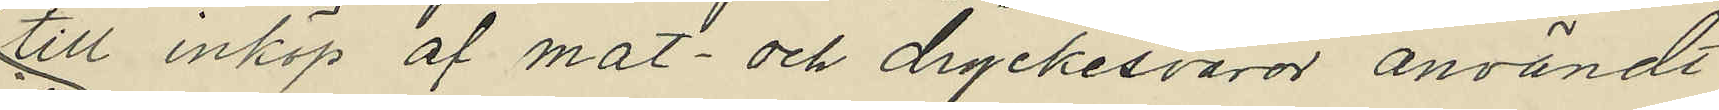till inköp af mat- och dryckesvaror användt
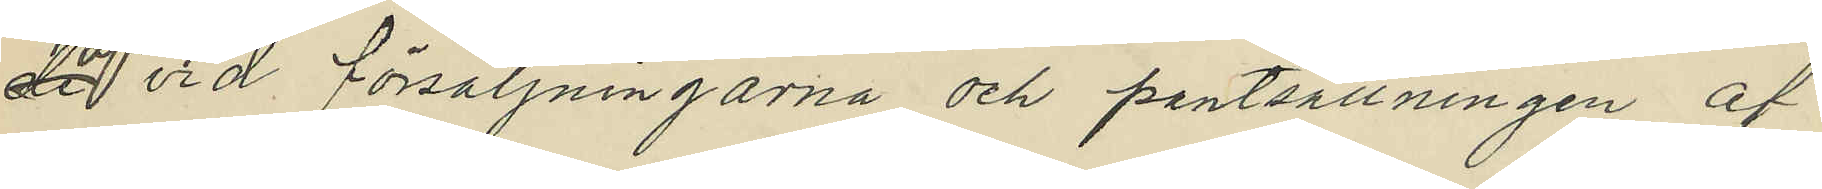de vid försäljningarna och pantsättningen af
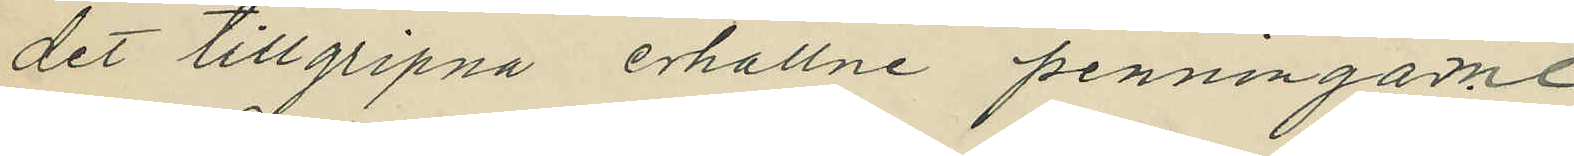det tillgripna erhållne penningarne
